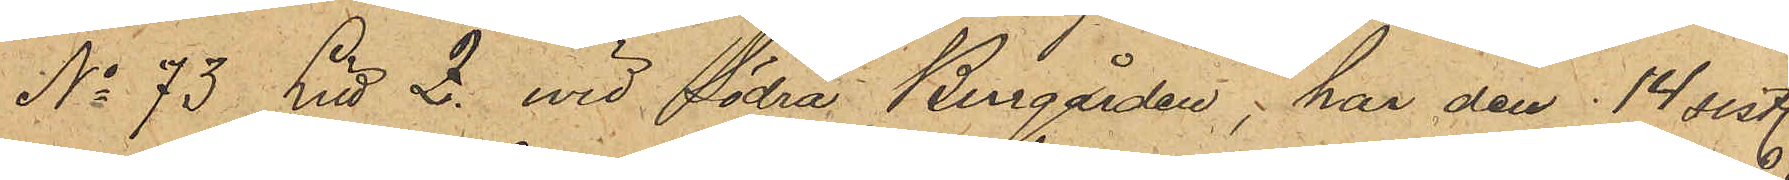No 73 Litt Z. wid Södra Bangårdan; har den 14 sist.
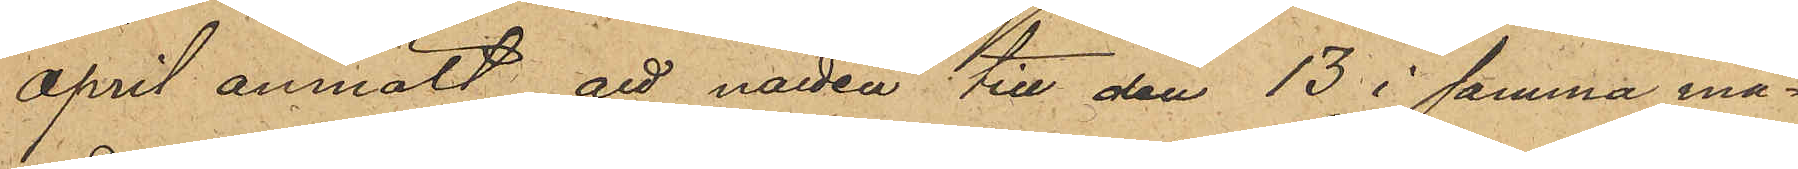april anmält, att natten till den 13 i samma må¬
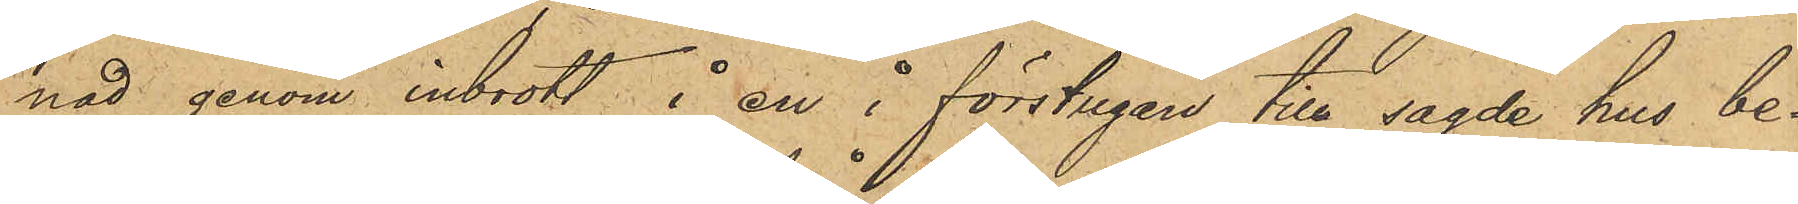nad genom inbrott å en å förstugan till sagde hus be¬
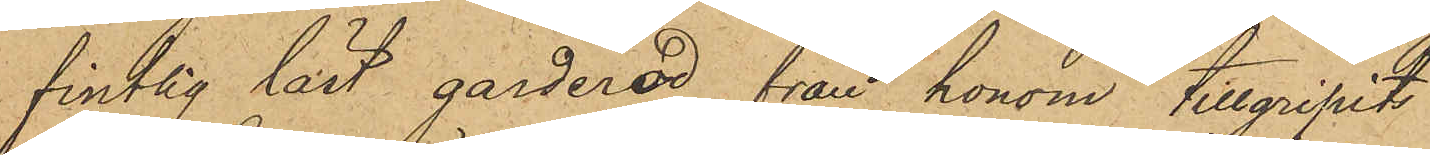fintlig låst garderod, från honom tillgripits:
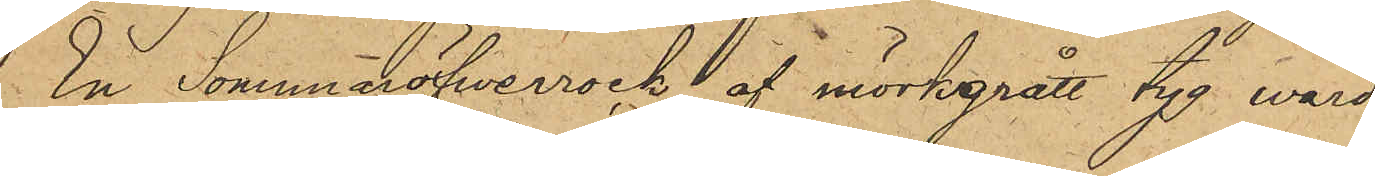En Sommaröfwerrock af mörkgrått tyg, värd
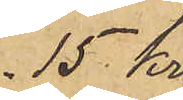15 Kr:
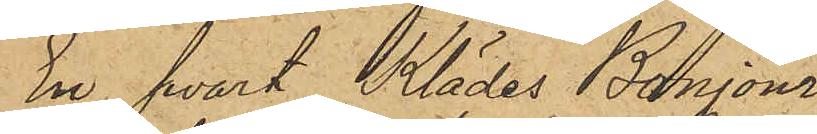En svart Klädes Bonjour
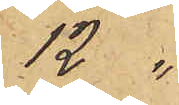12 "
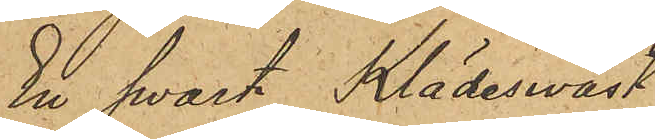En svart Klädeswäst
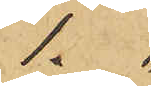1. "
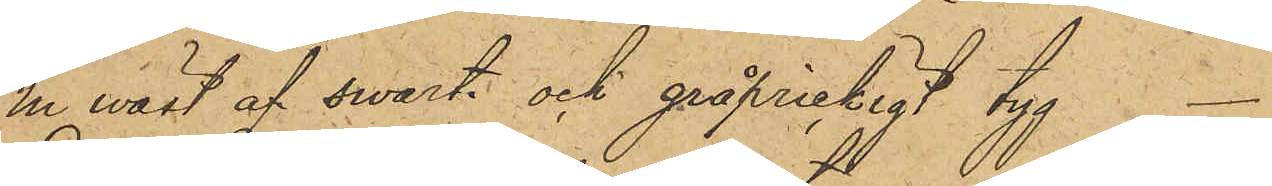En wäst af svart och gråprickigt tyg
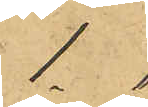1. "
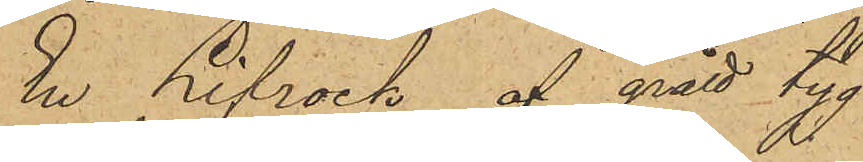En Lifrock af grått tyg
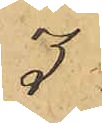3 "
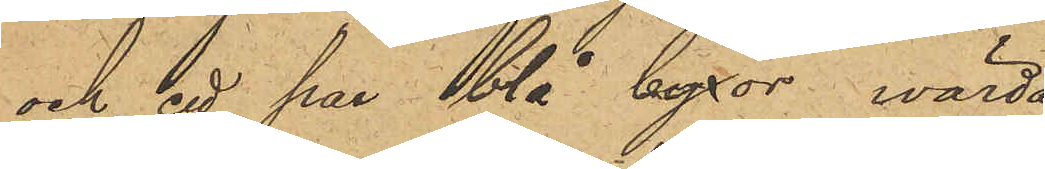och ett par blå byxor, wärda
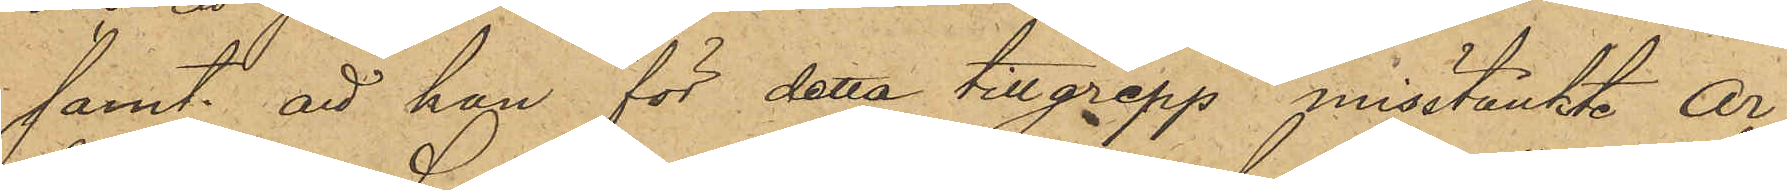samt att han för detta tillgrepp misstänkte Ar¬
